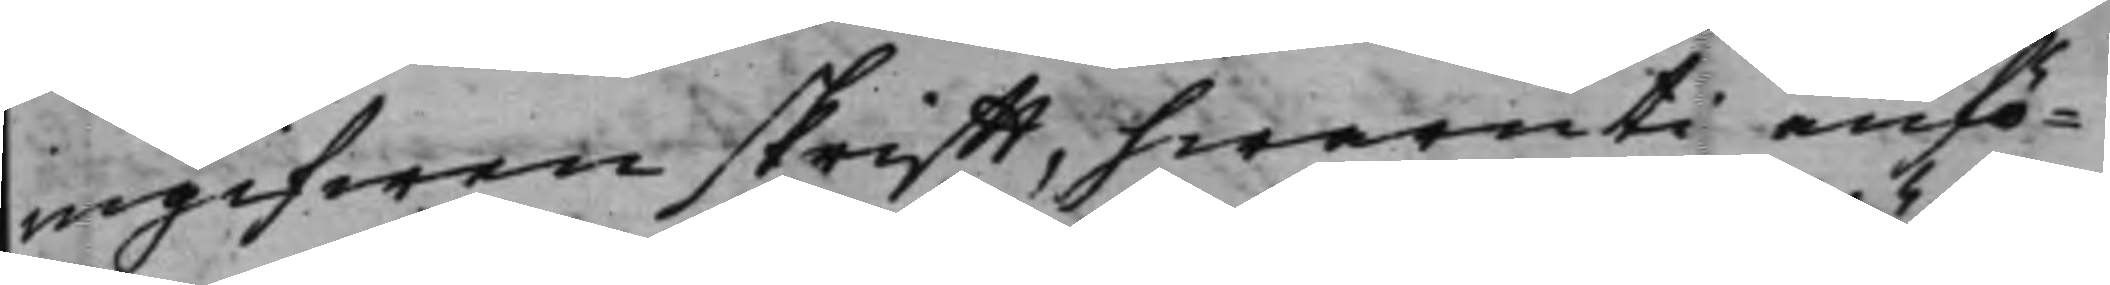ingifwen skrifft, hwaruti anfö¬
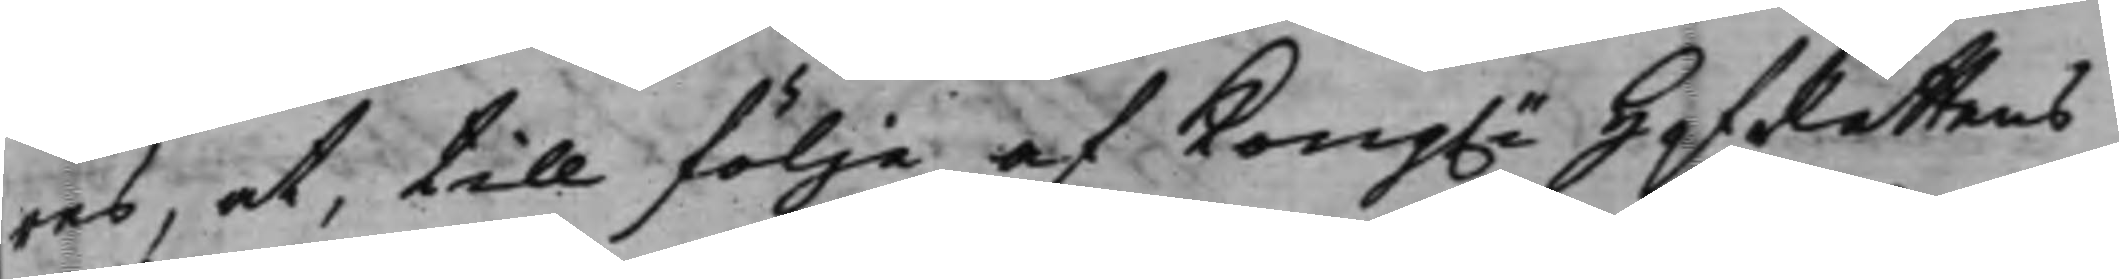res, at, till följe af Kong.e HofRättens
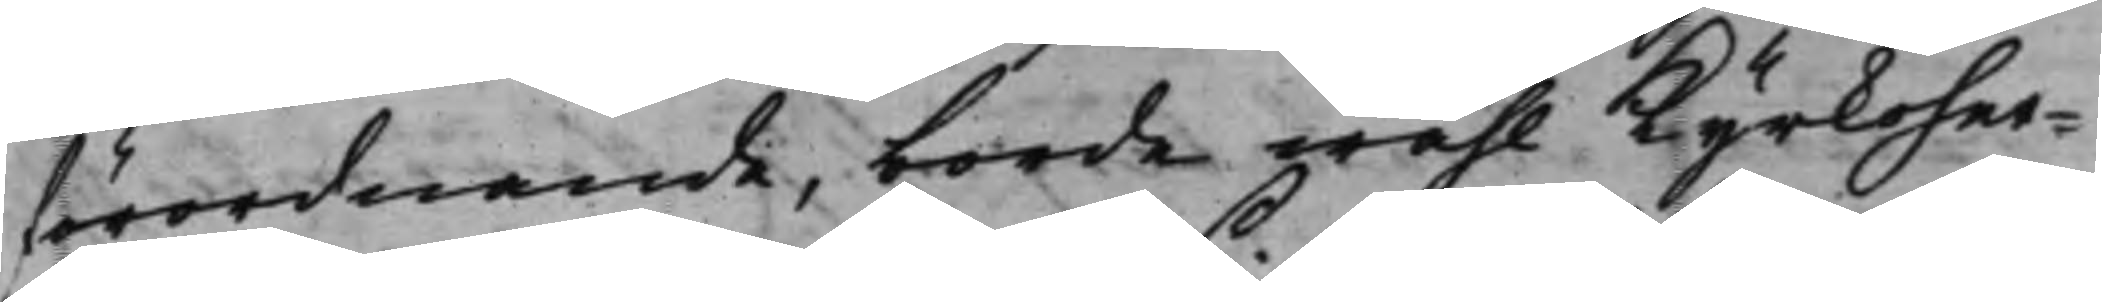förordnande, borde wähl Kyrkoher¬
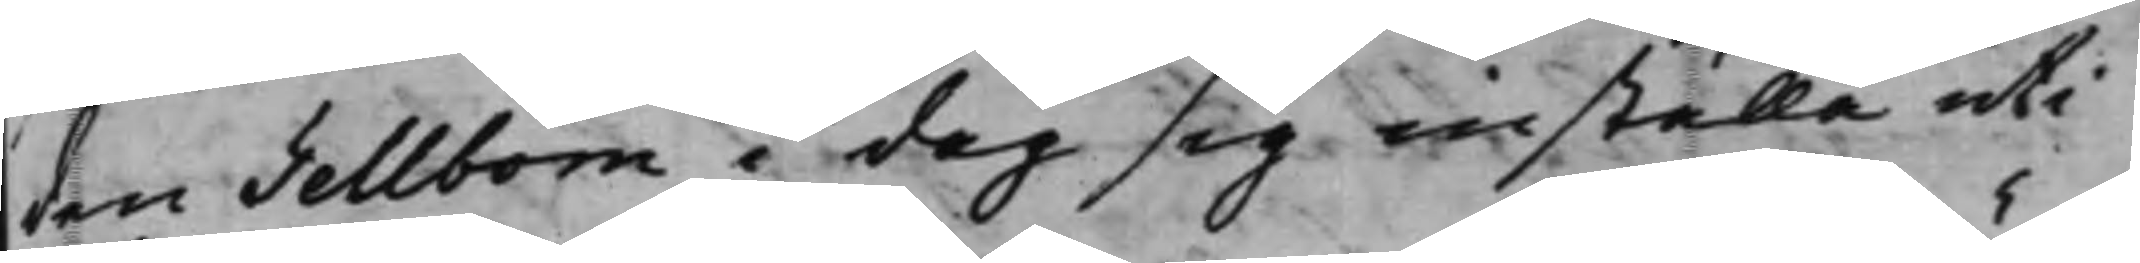den Tellbom i dag sig inställa uti
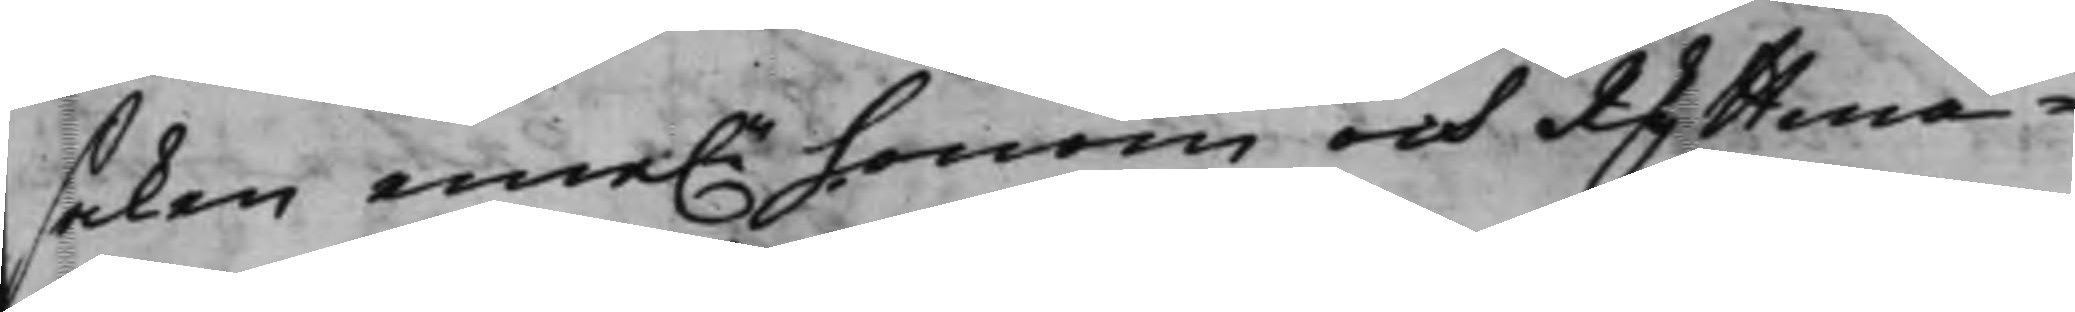saken eme.n honom och Ryttmä¬
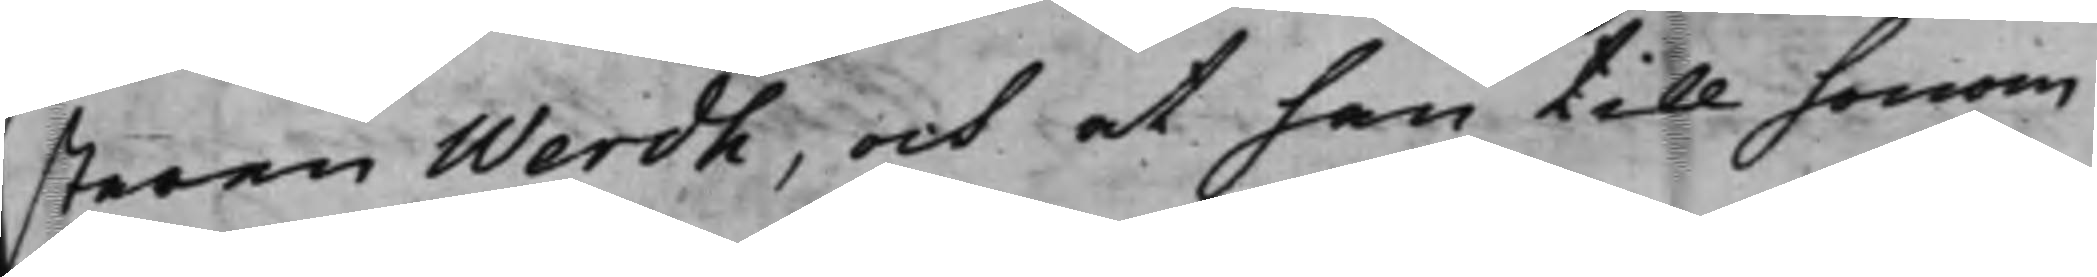staren Werdh, och at han till honom
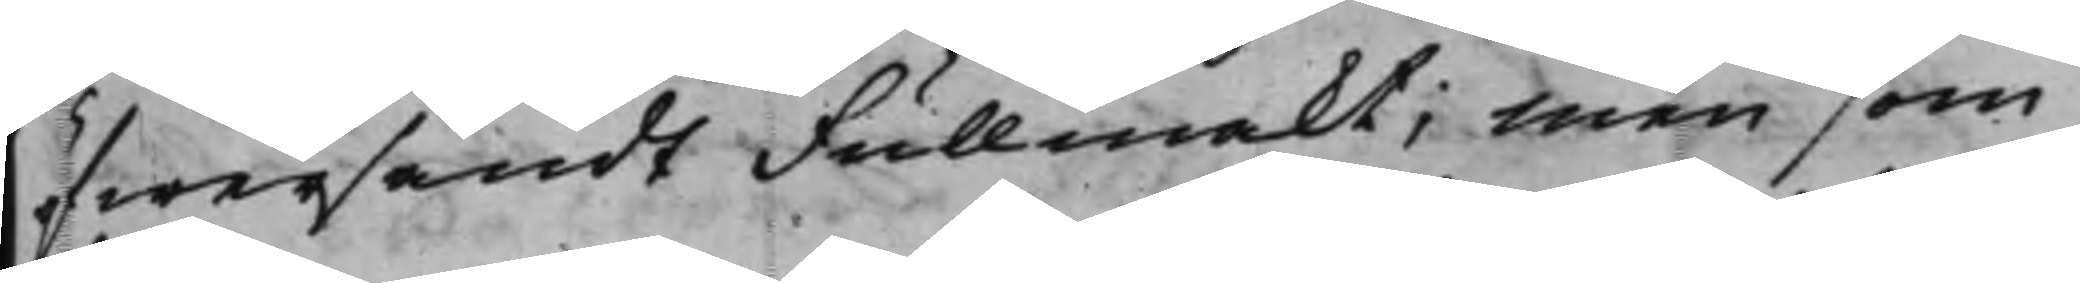öfwersändt Fullmakt; Men som
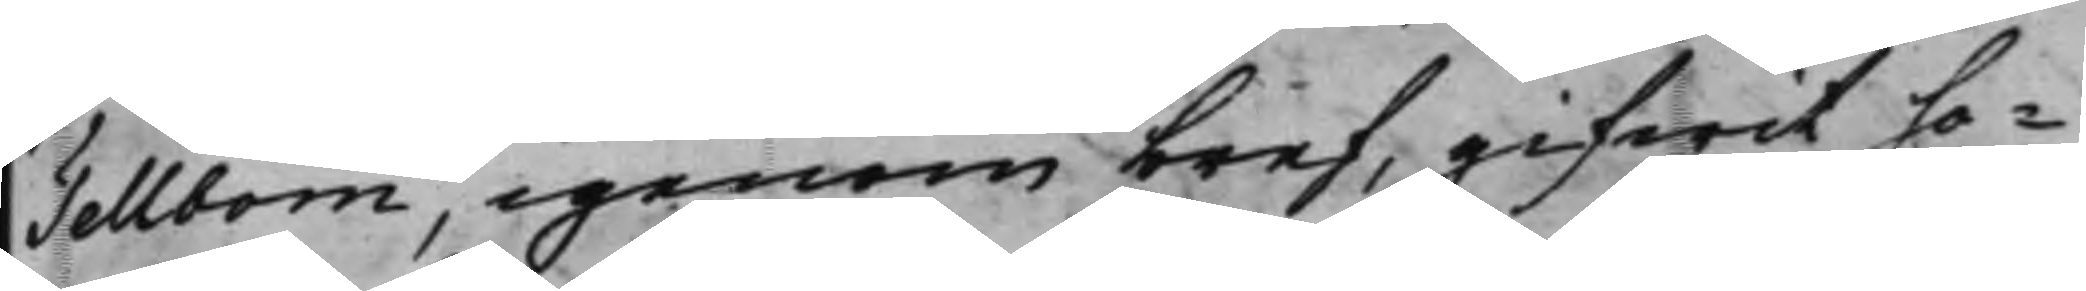Tellbom, igenom bref, gifwit ho¬
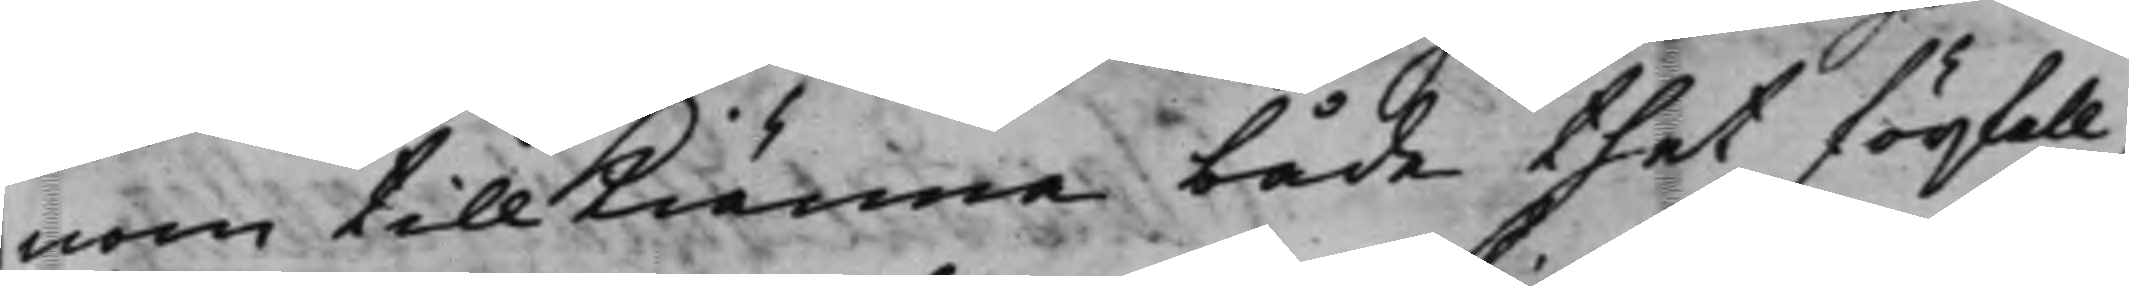nom tillkiänna både thet förfall,
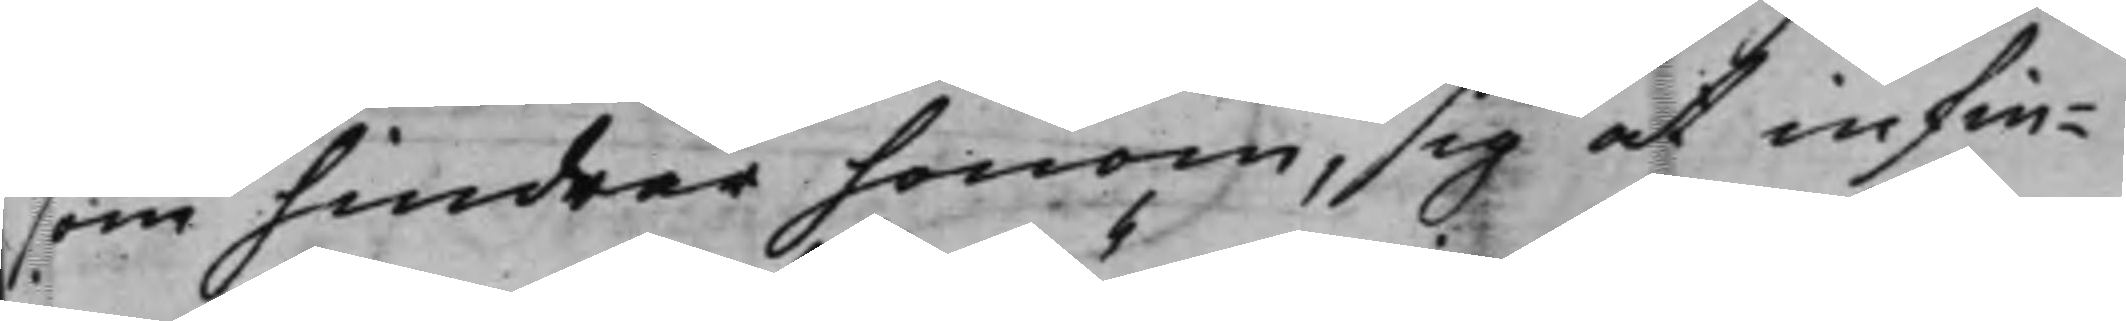som hindrar honom, sig at infin¬
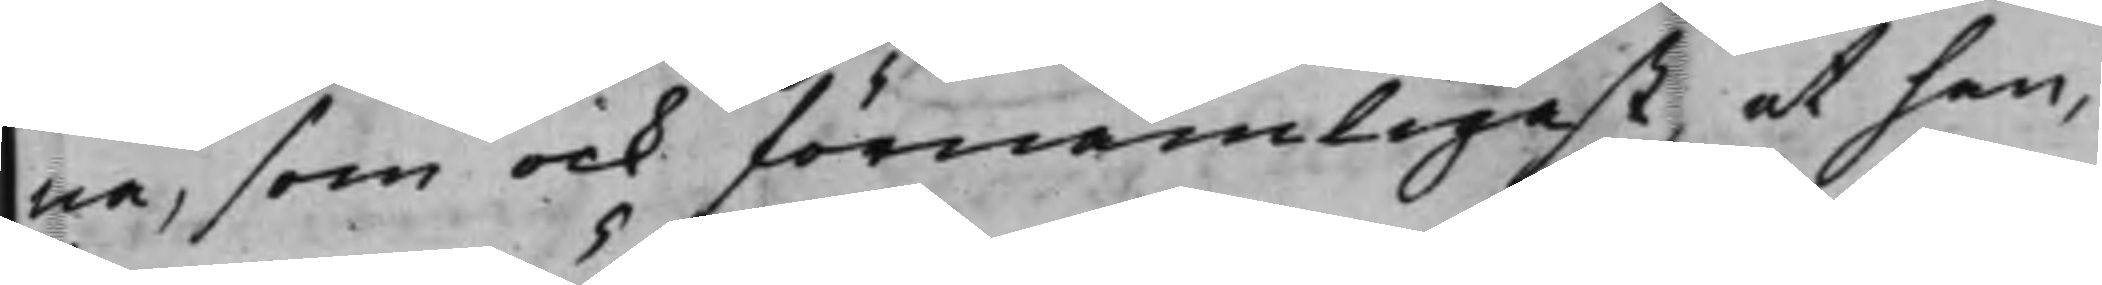na, som ock förnämligast, at han,
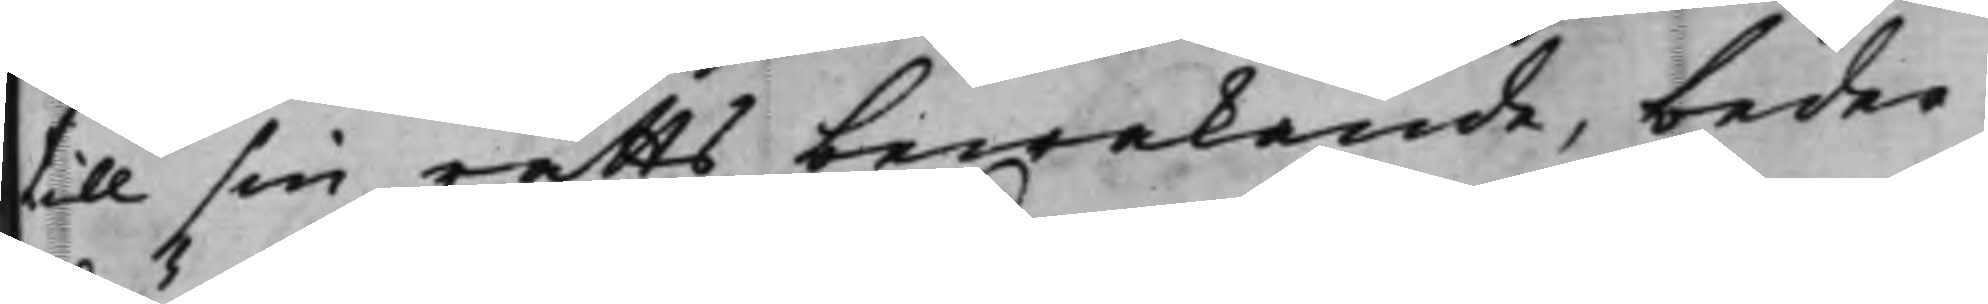till sin rätts bewakande, beder
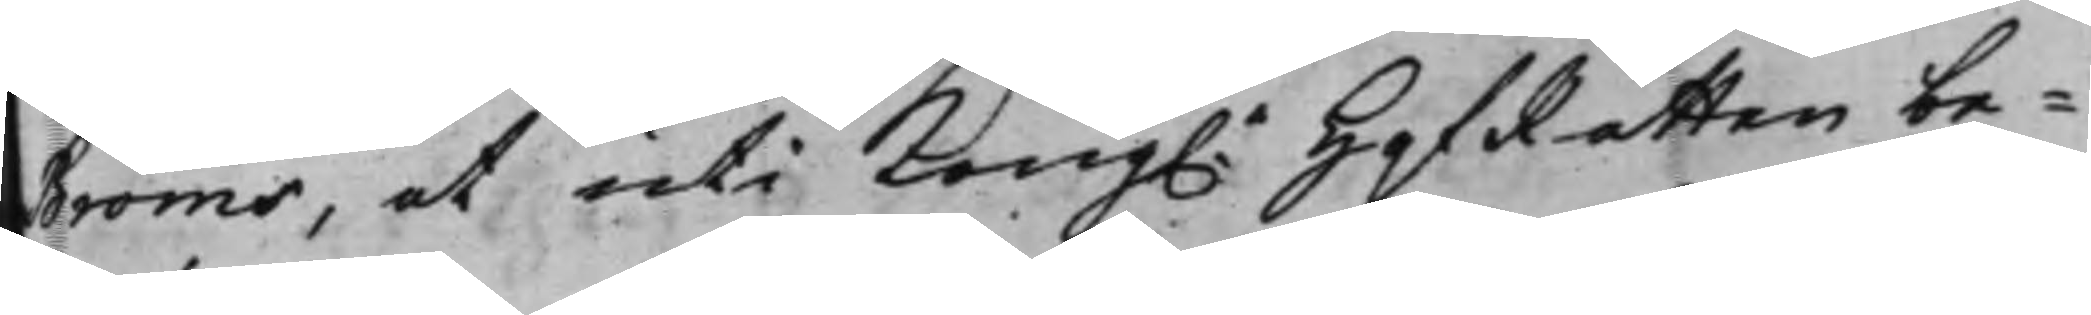Bröms, at uti Kong.e HofRätten be¬
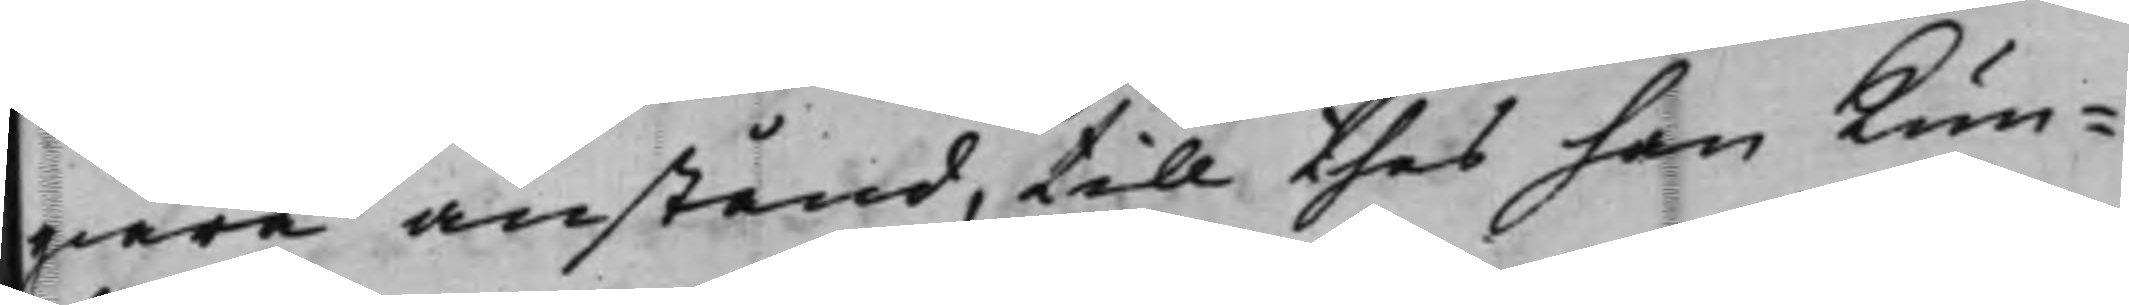giära anstånd, till thes han kun¬
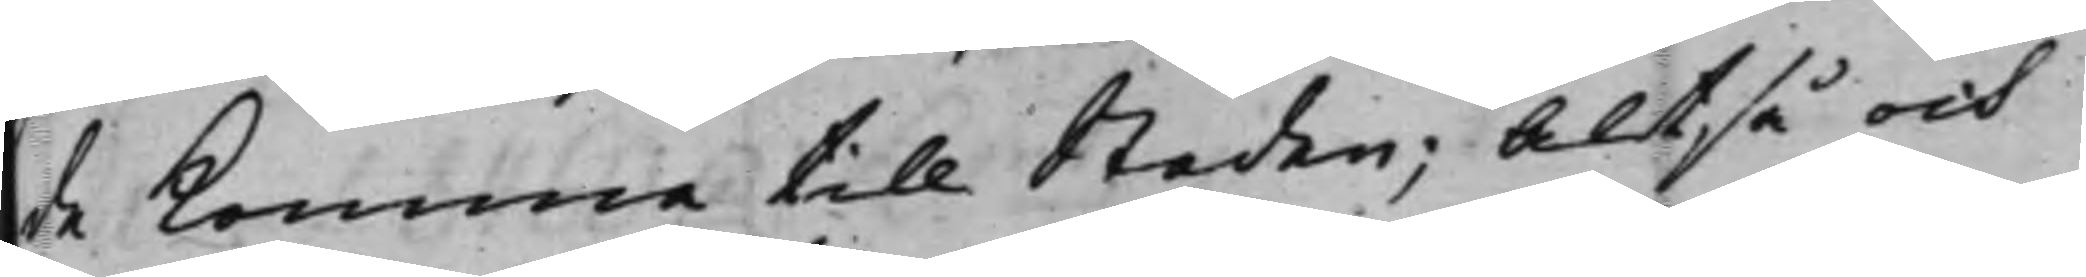de komma till Staden; Altså och
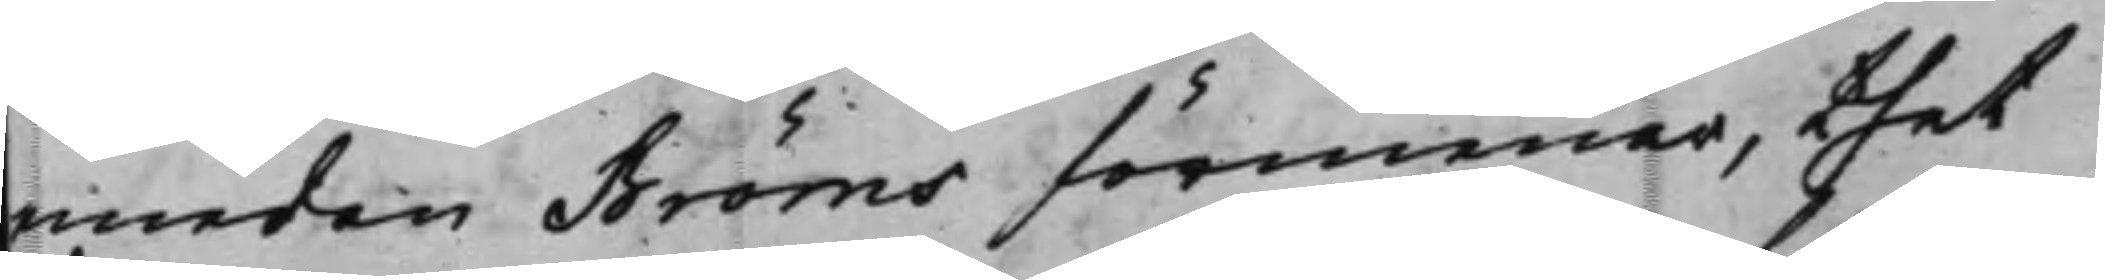emedan Bröms förmenar, thet
